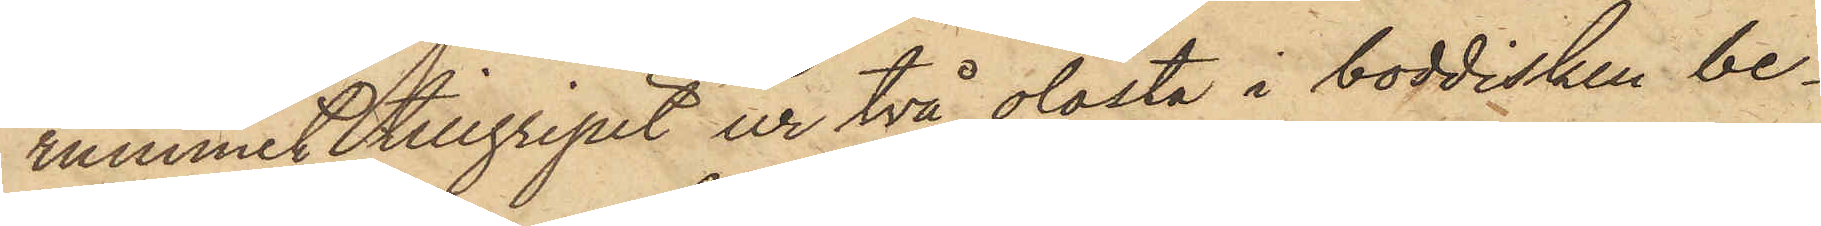rummet tillgripit ur två olåsta i boddisken be¬
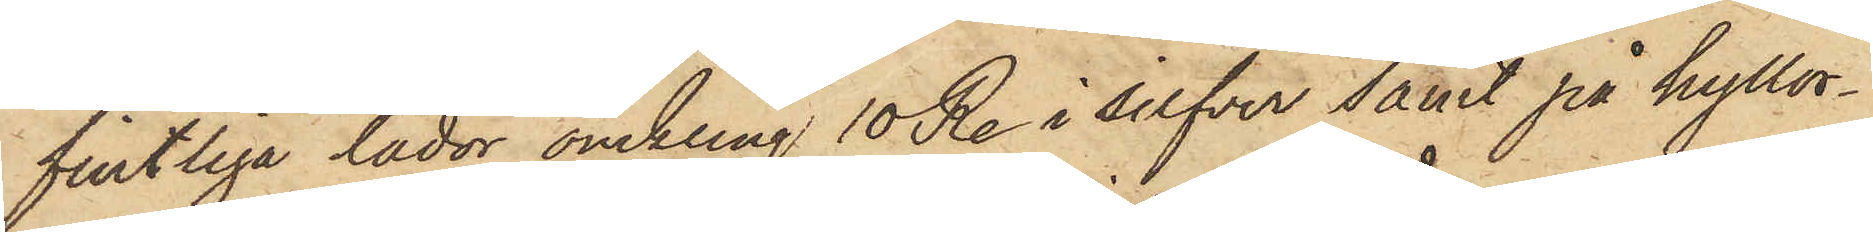fintliga lådor omkring 10 R. i silfver samt på hyllor¬
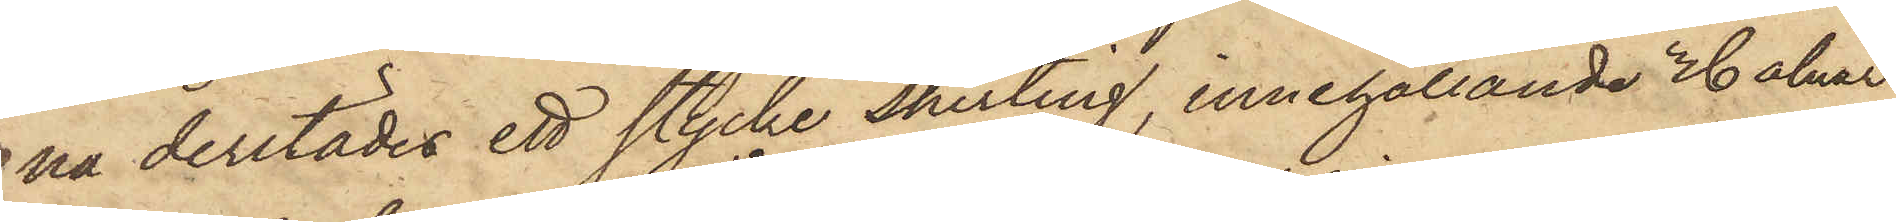na derstädes ett stycke shirting, innehållande 36 alnar,
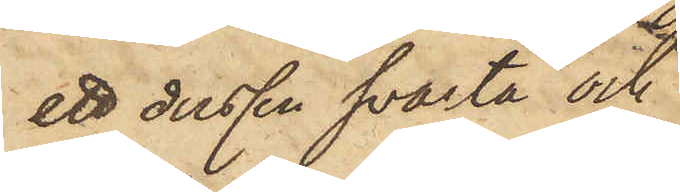ett dussin svarta och
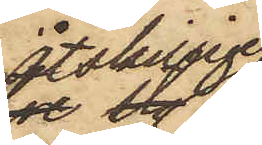åtskillige
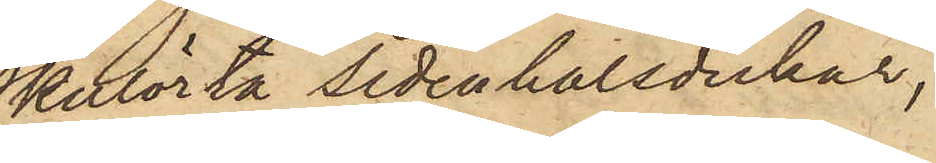kulörta sidenhalsdukar;
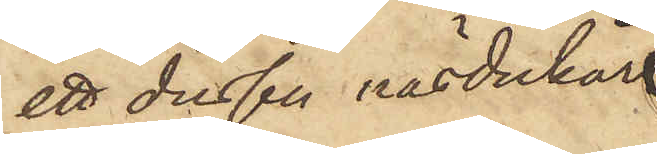ett dussin näsdukar
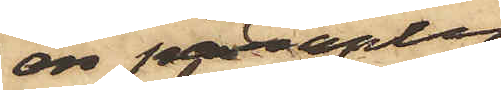en paraply
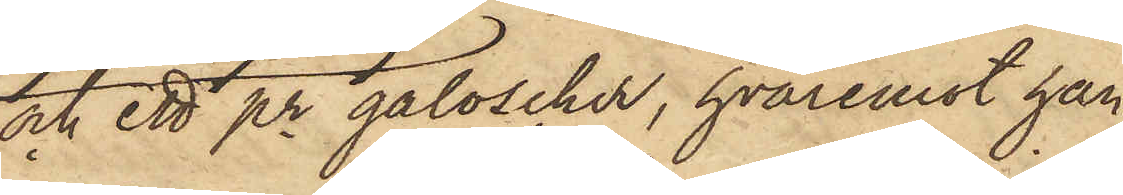och ett pr galoscher, hvaremot han
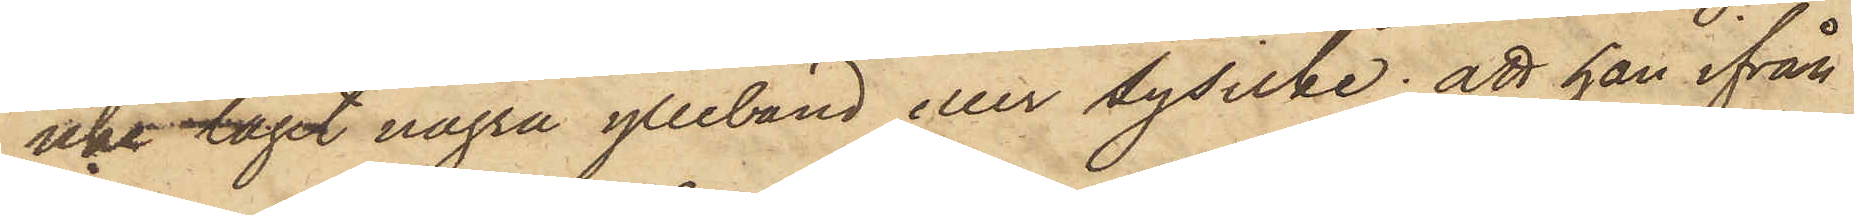icke tagit några ylleband eller sysilke; att han ifrån
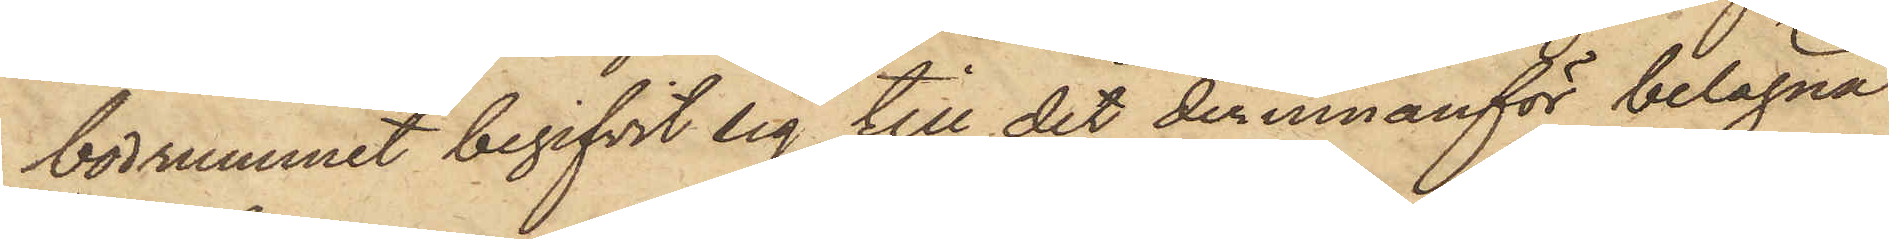bodrummet begifvit sig till det derinnanför belägna
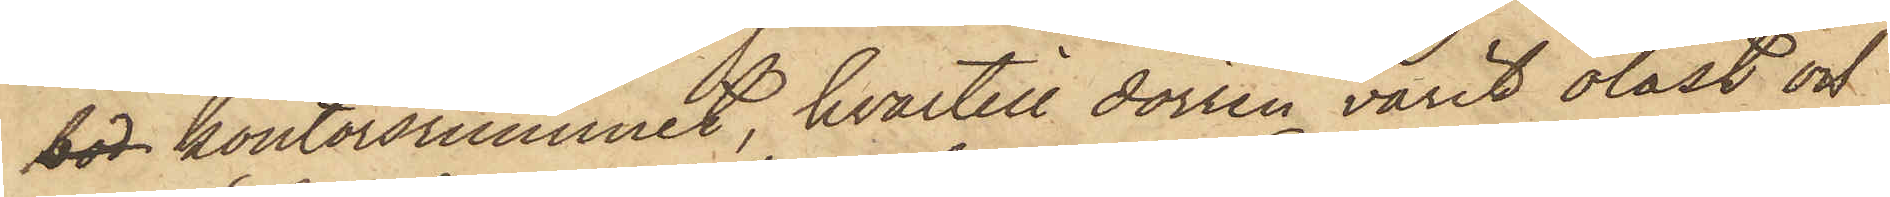bod kontorsrummet, hvartill dörren varit olåst och
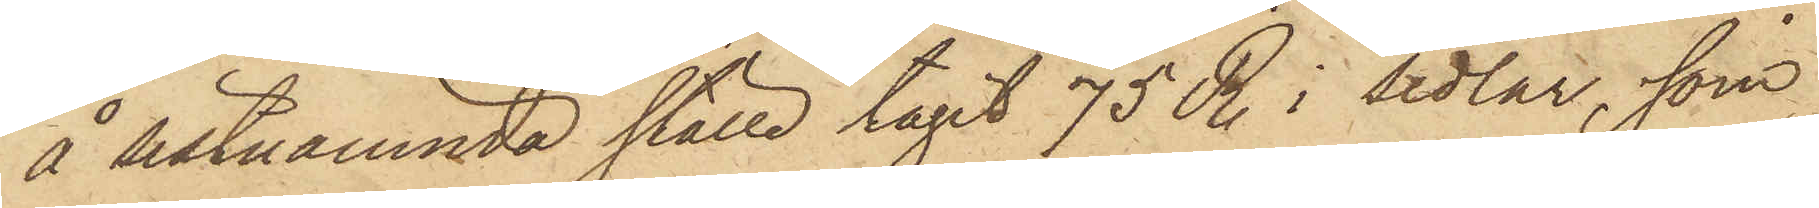å sistnämnda ställe tagit 75 R. i sedlar, som
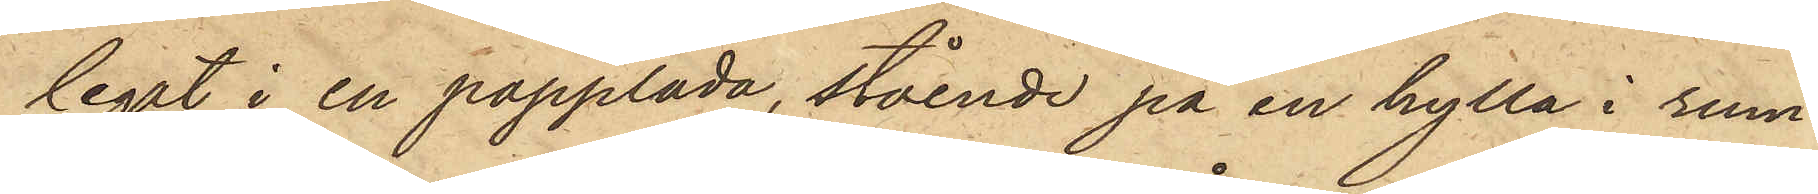legat i en papplåda, stående på en hylla i rum¬
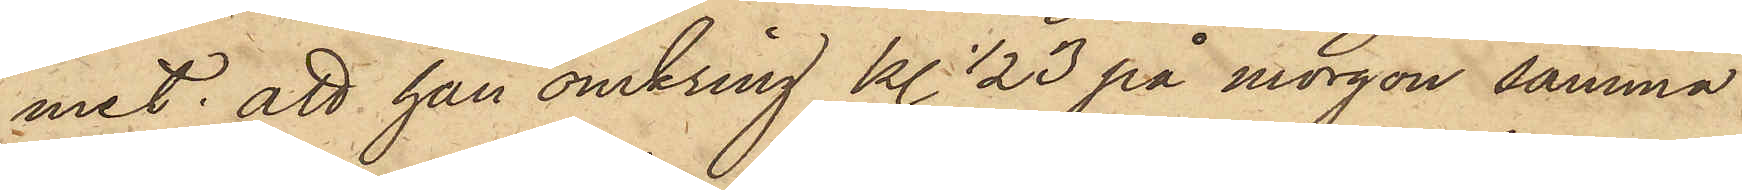met; att han omkring kl. 1/2 3 på morgon samma
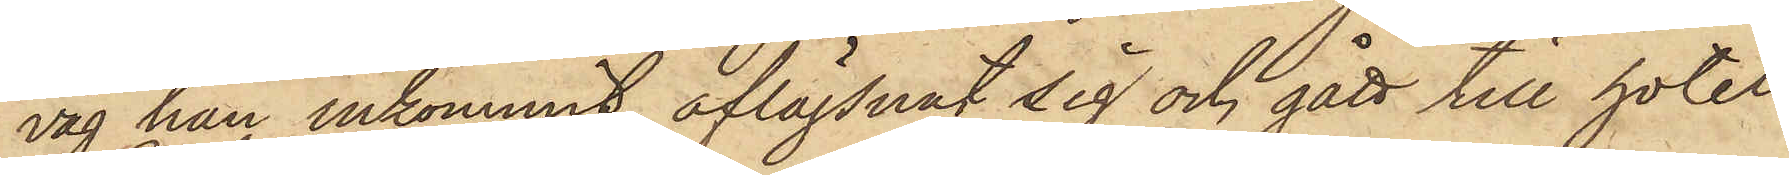väg han inkommit, aflägsnat sig och gått till hotel
